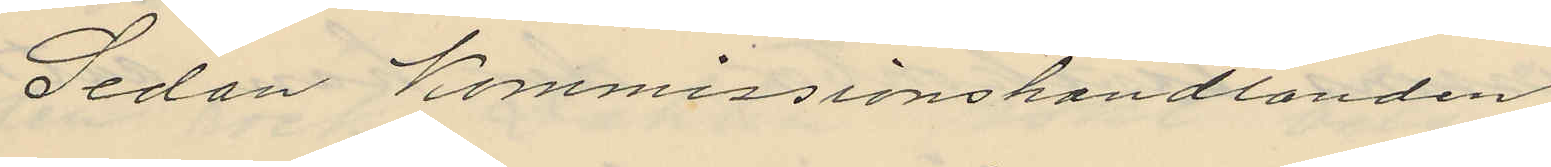Sedan Kommissionshandlanden
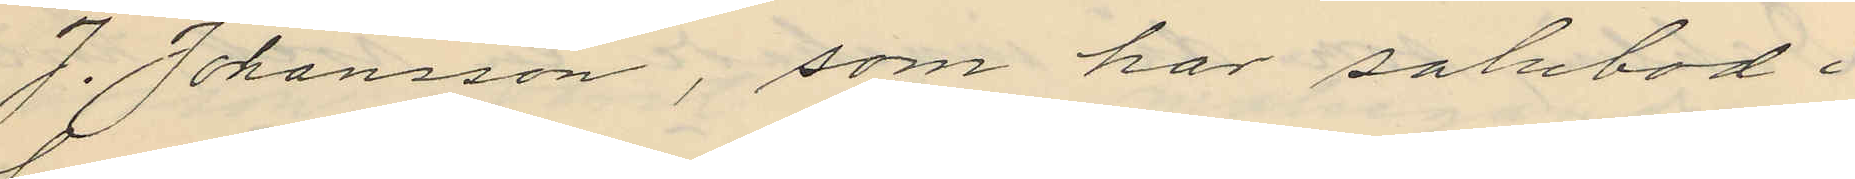J. Johansson, som har salubod i
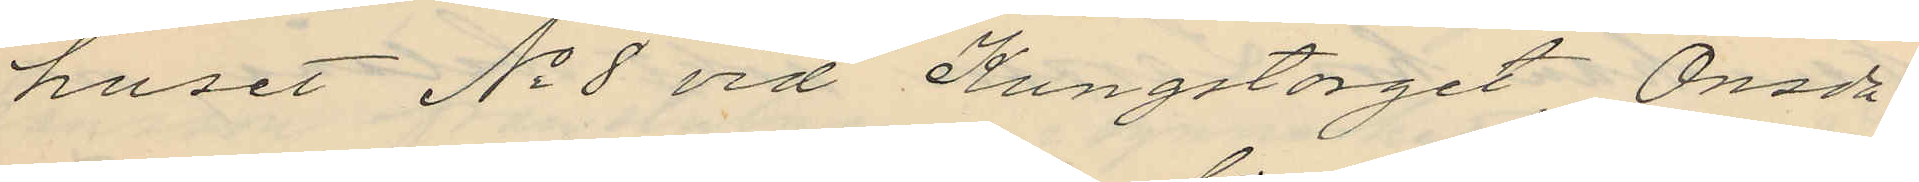huset No 8 vid Kungstorget, Onsda¬
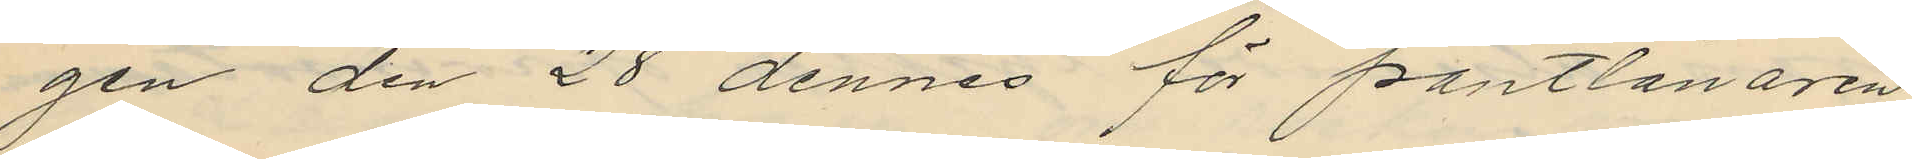gen den 28 dennes för pantlånaren
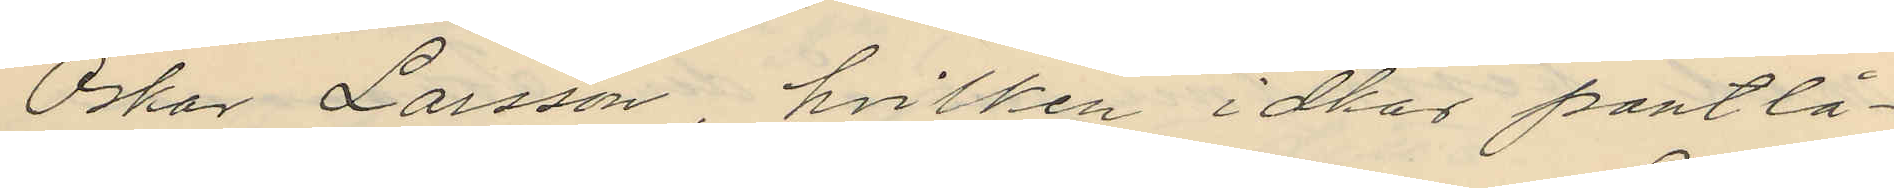Oskar Larsson, hvilken idkar pantlå¬
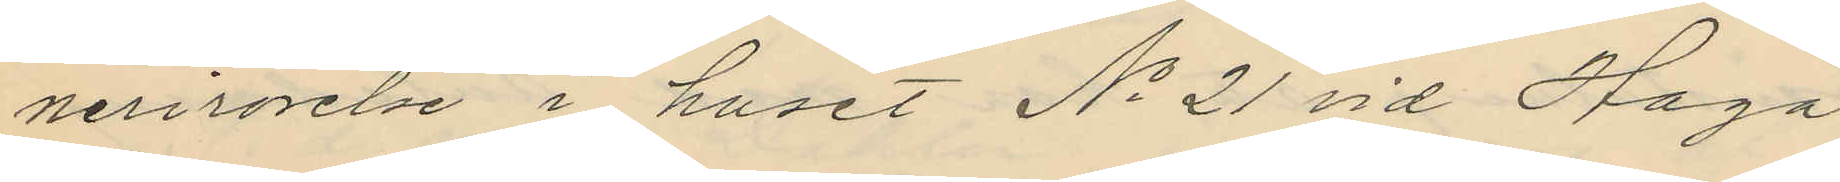nerirörelse i huset No 21 vid Haga
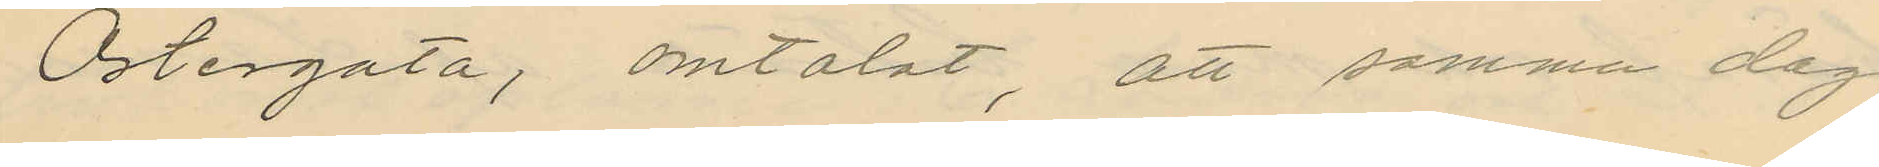Östergata, omtalat, att samma dag
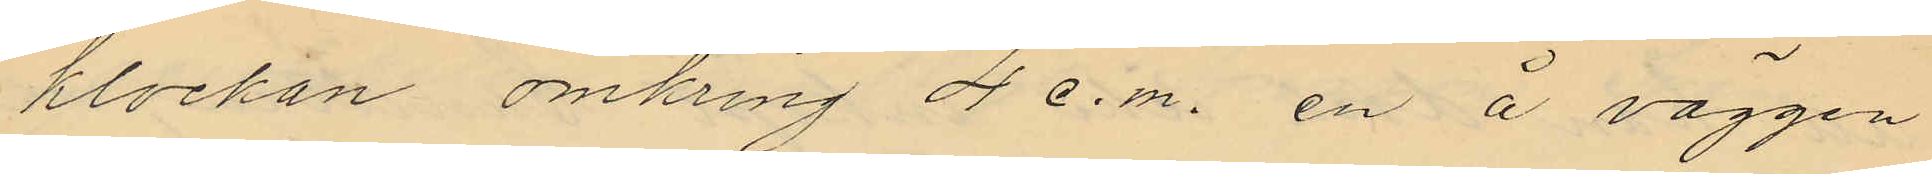klockan omkring 4 e.m. en å väggen
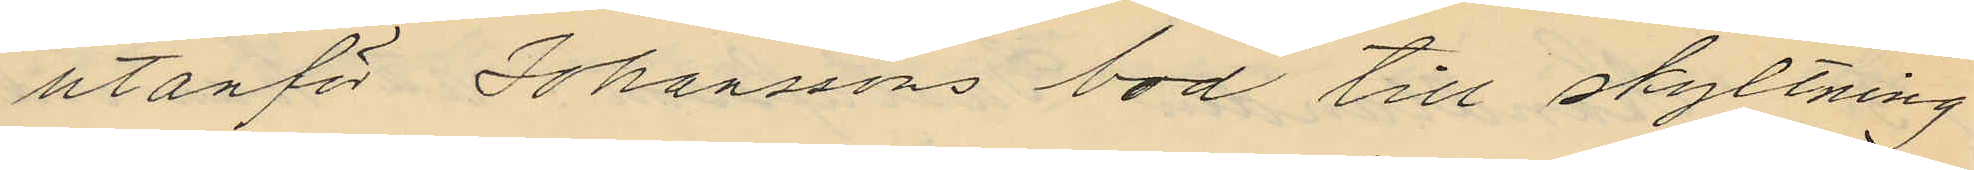utanför Johanssons bod till skyltning
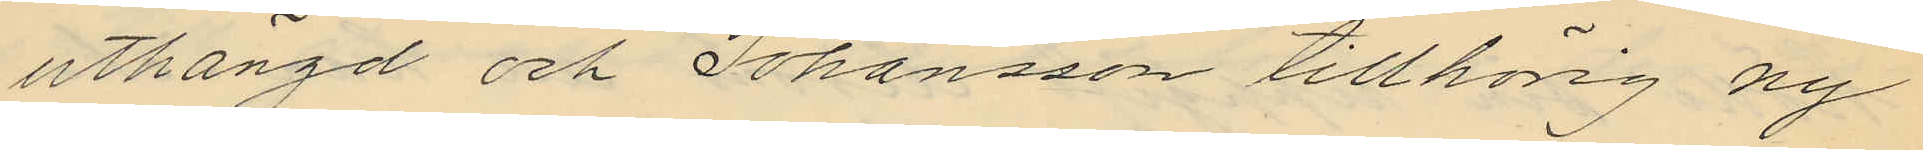uthängd och Johansson tillhörig ny
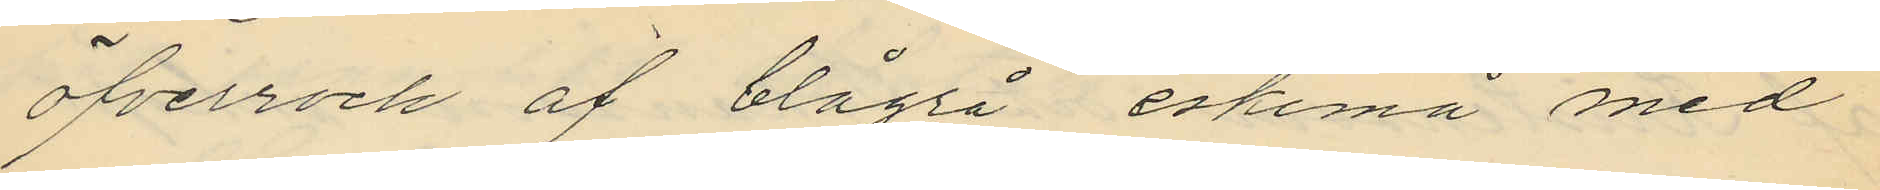öfverrock af blågrå eskimå med
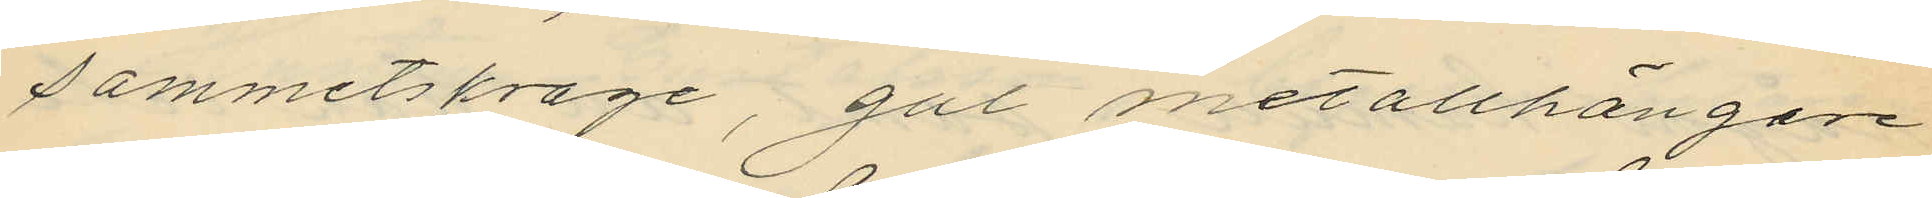sammetskrage, gul metallhängare
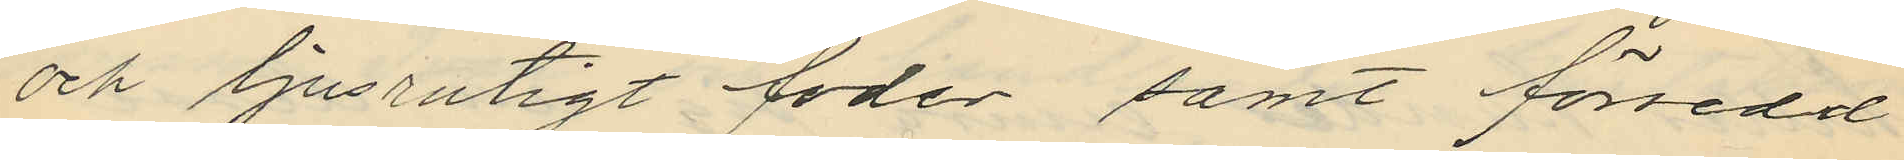och ljusrutigt foder samt försedd
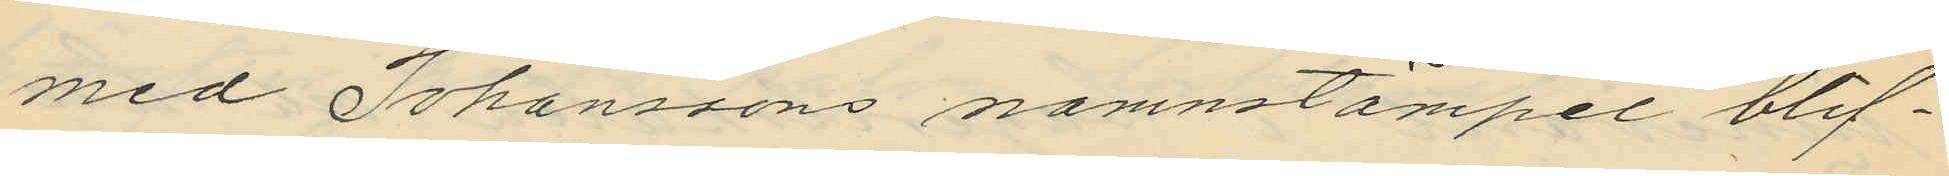med Johanssons namnstämpel blif¬
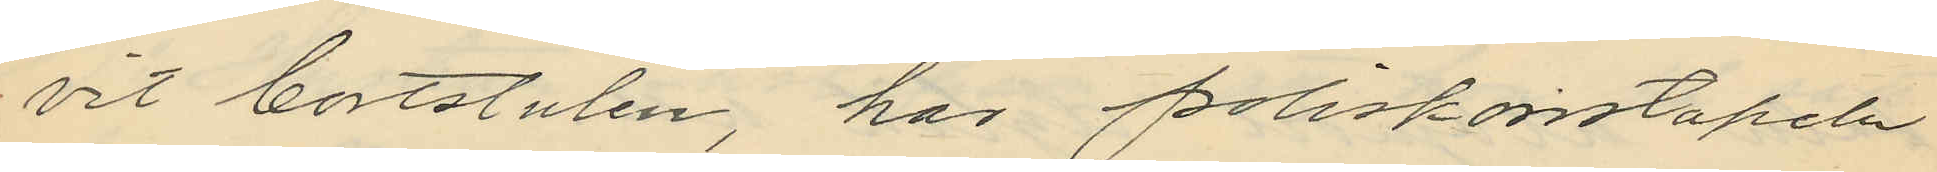vit bortstulen, har poliskonstapeln
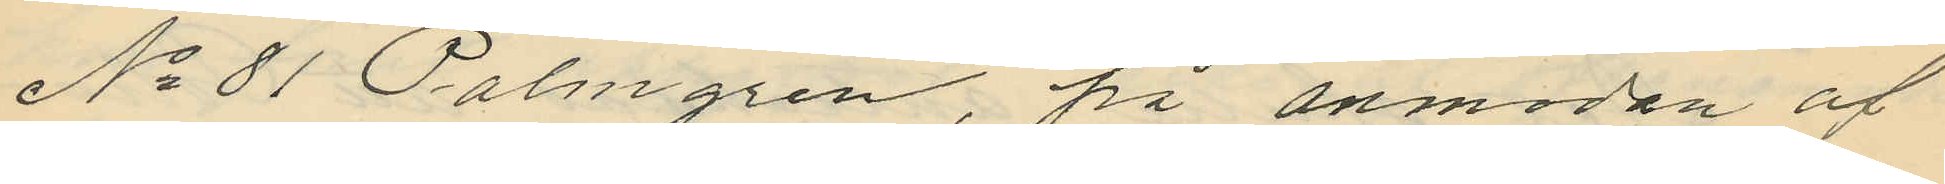No 81 Palmgren, på anmodan af
